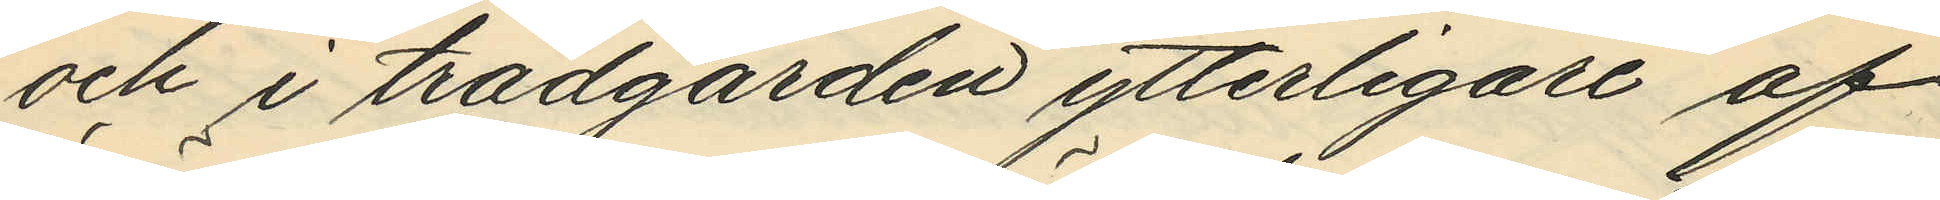och i trädgården ytterligare af
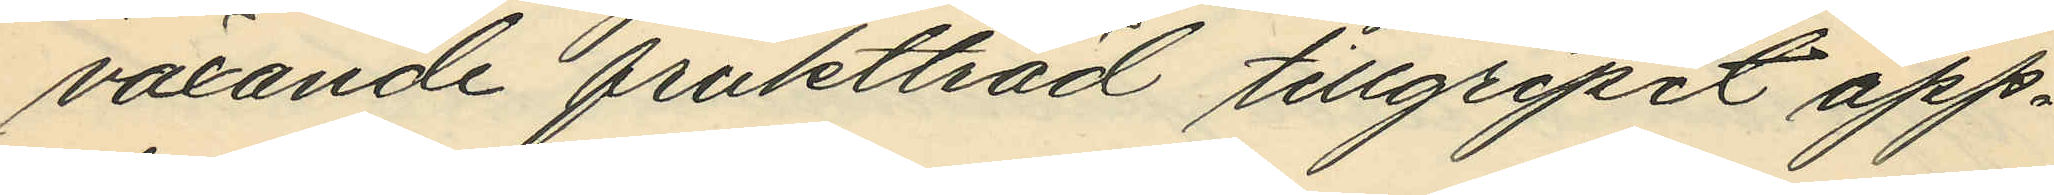växande fruktträd tillgripit äpp¬
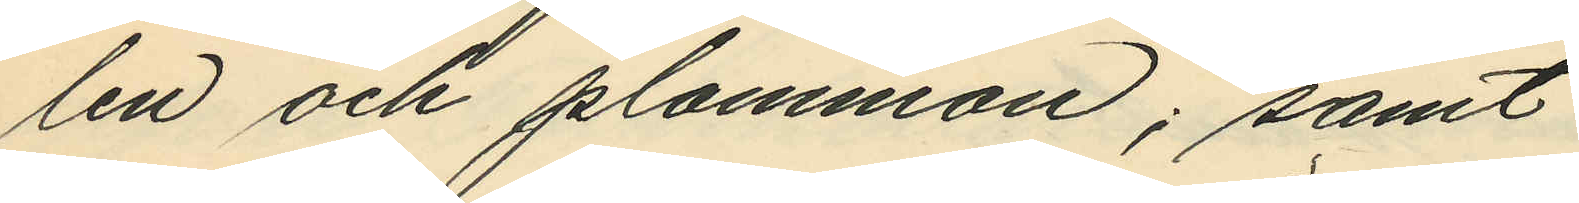len och plommon; samt
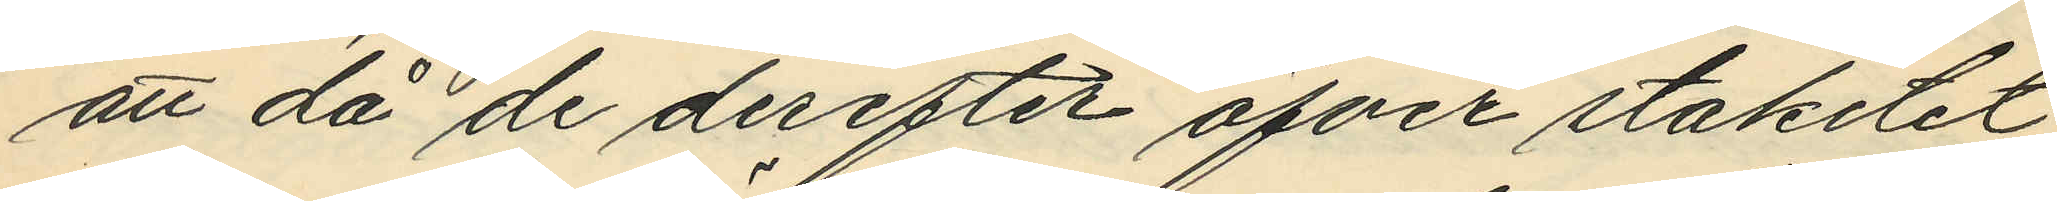att då de derefter öfver staketet
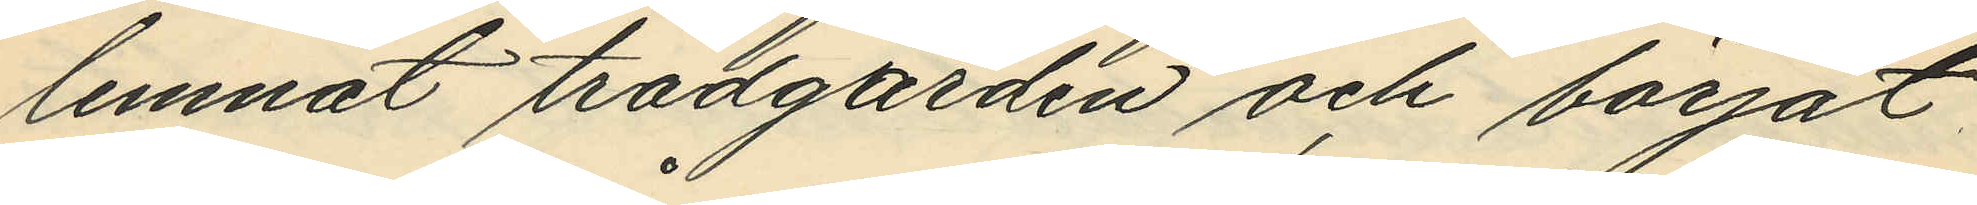lemnat trädgården och börjat
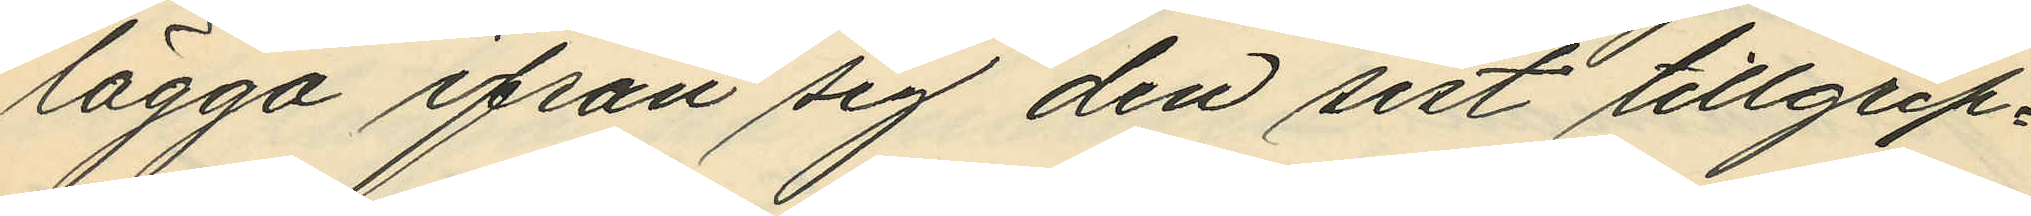lägga ifrån sig den sist tillgrip¬
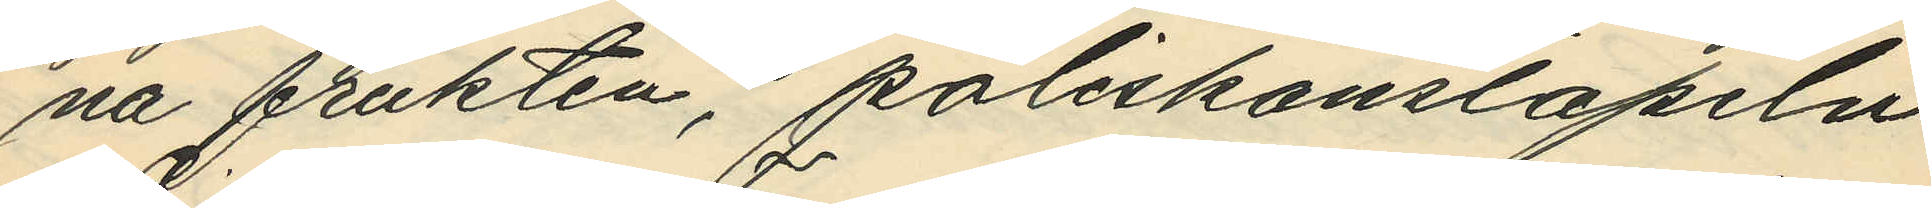na frukten, poliskonstapeln
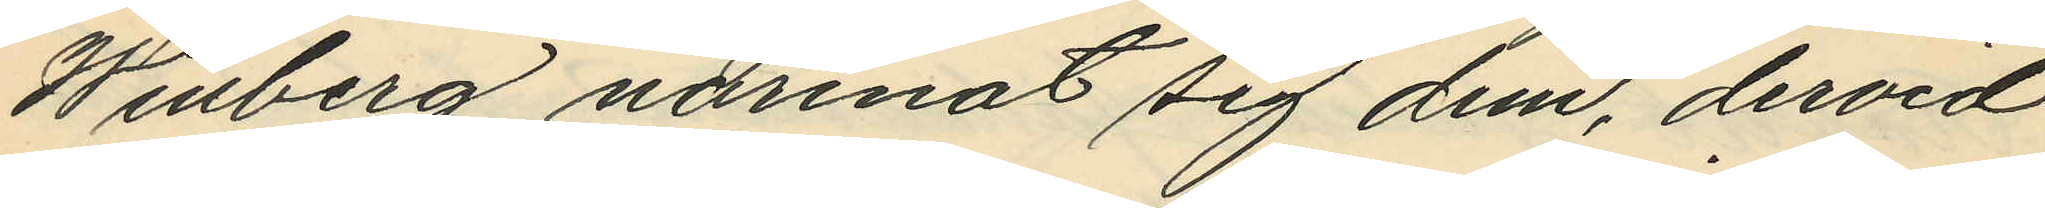Winberg närmat sig dem, dervid
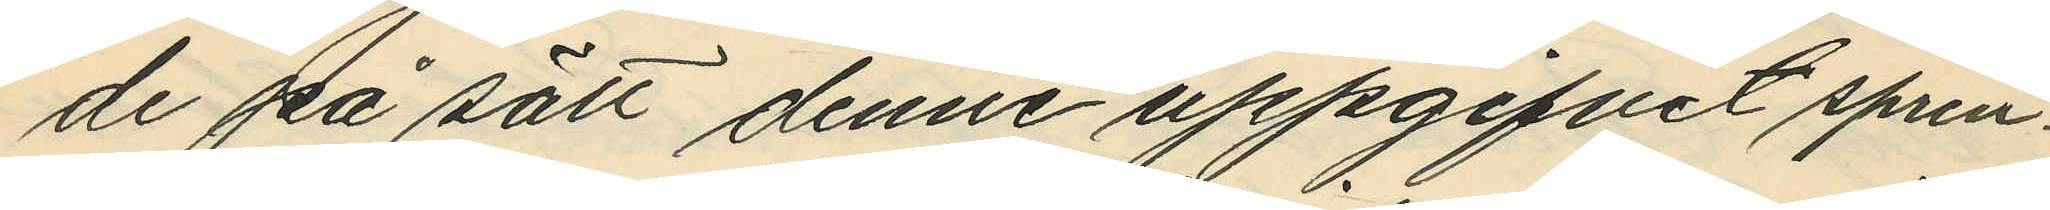de på sätt denne uppgifvit sprin¬
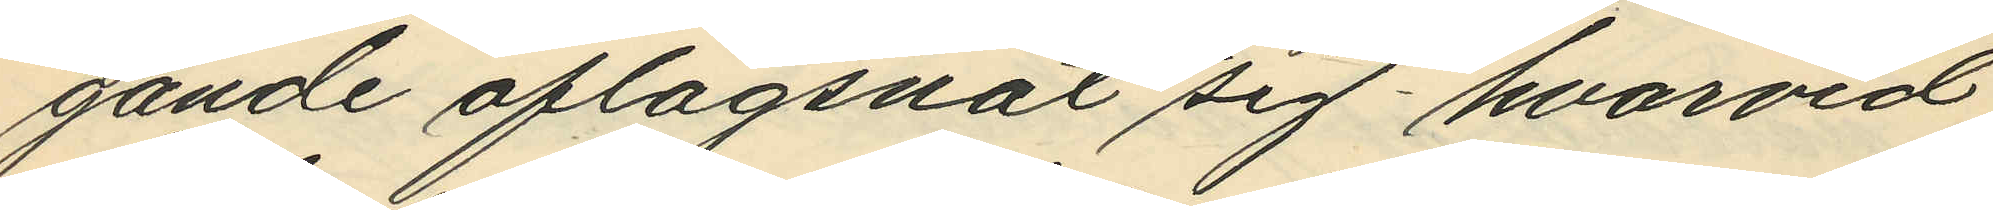gande aflägsnat sig hvarvid
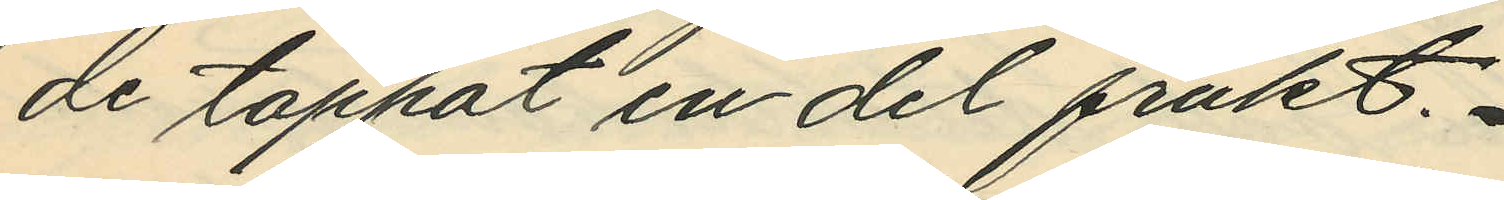de tappat en del frukt.
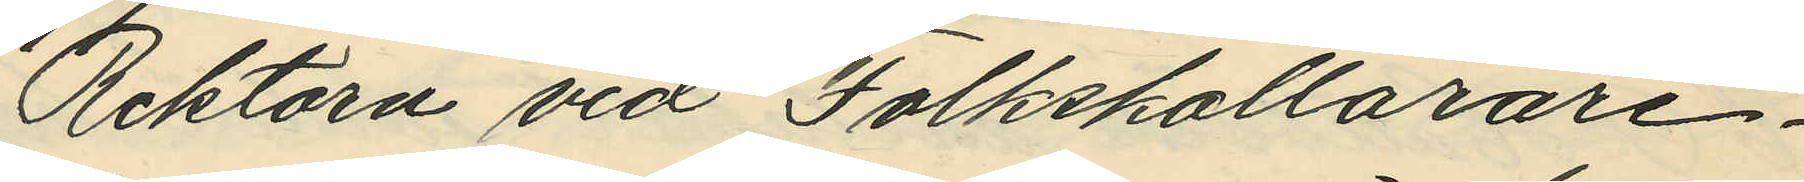Rektorn vid Folkskollärare¬
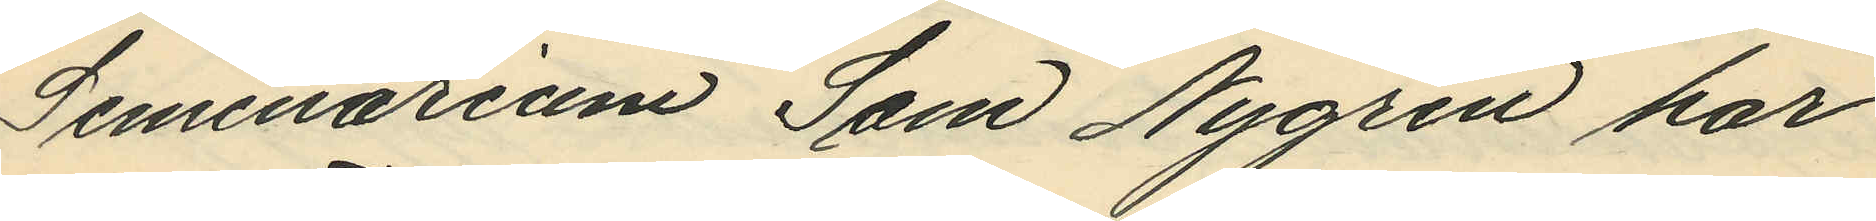Seminarium Sam Nygren har
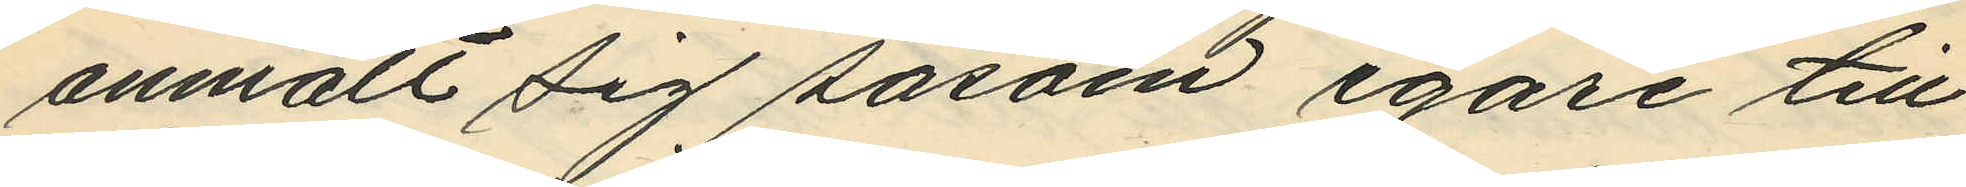anmält sig såsom egare till
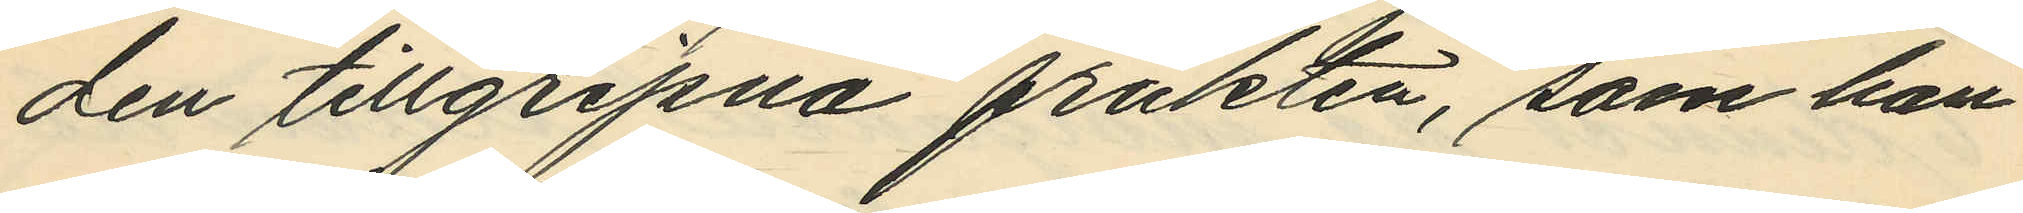den tillgripna frukten, som han
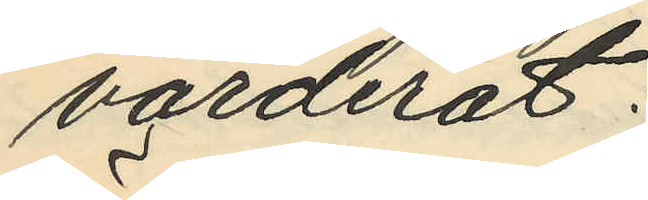värderat:
